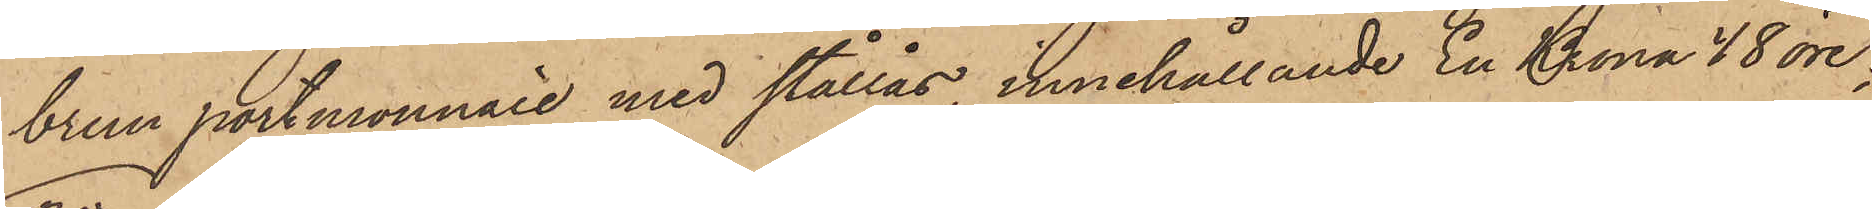brun portmonnaie med stållås, innehållande En Krona 48 öre;
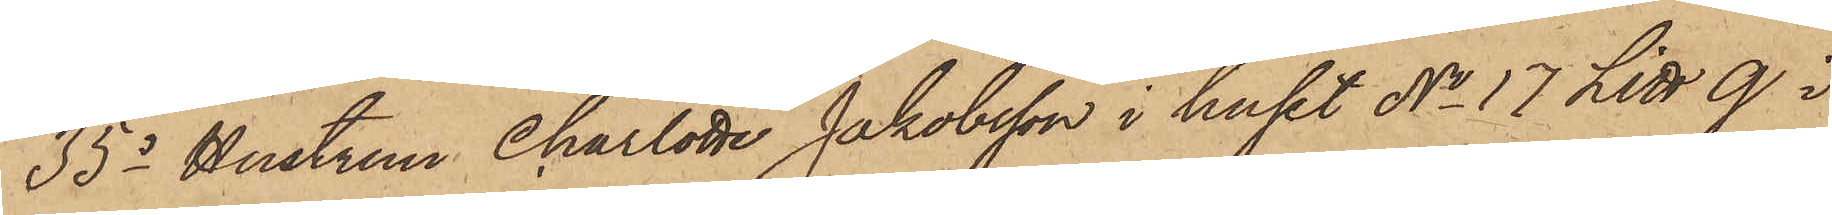35o Hustrun Charlotte Jakobsson i huset No 17 Litt Q i
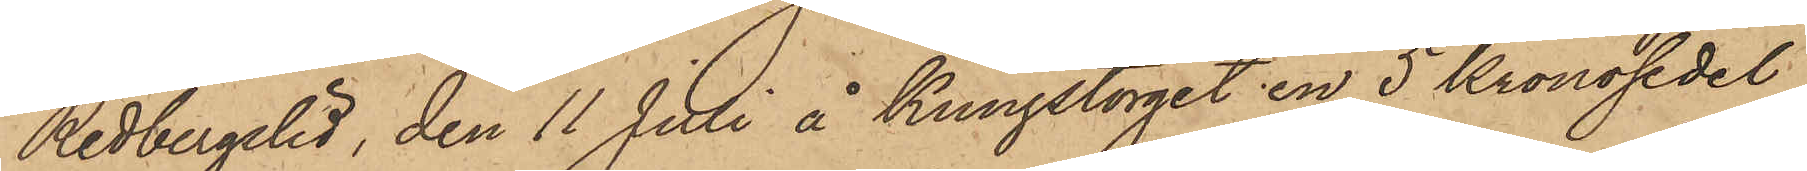Redbergslid, den 11 Juli å Kungstorget en 5 kronosedel
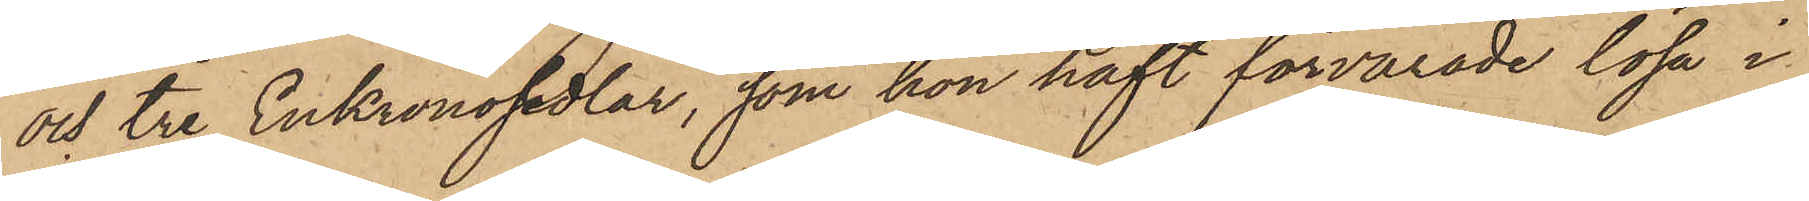och tre Enkronosedlar, som hon haft förvarade lösa i
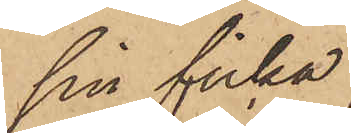sin ficka;
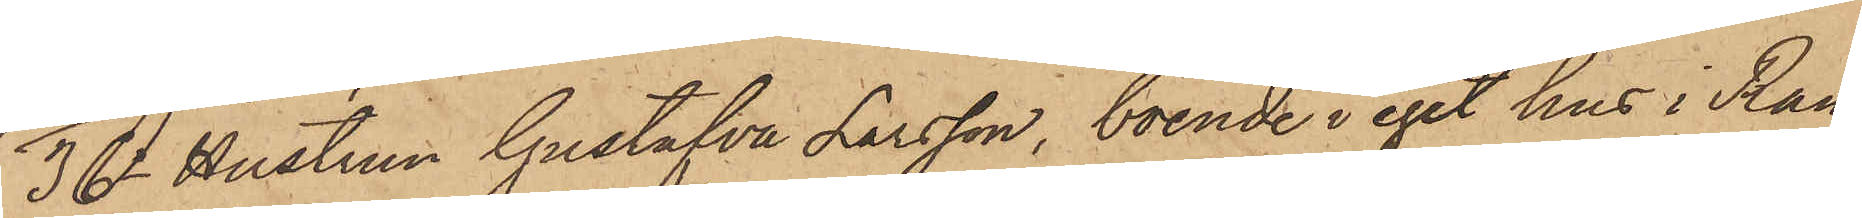36o Hustrun Gustafva Larsson, boende i eget hus i Ran¬
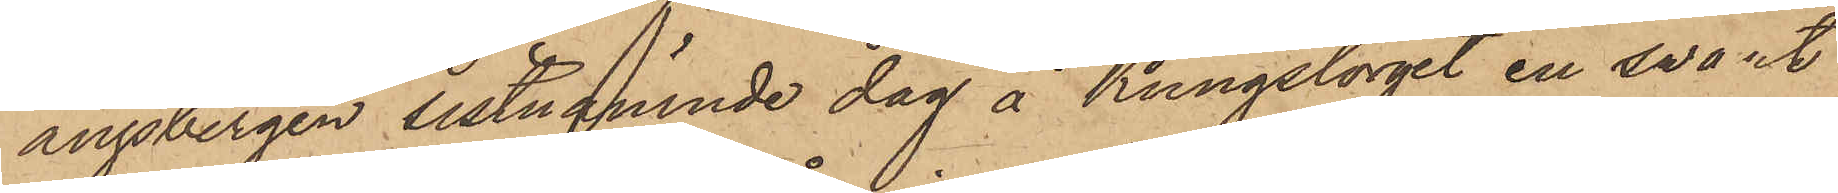ängsbergen sistnämnde dag å Kungstorget en svart
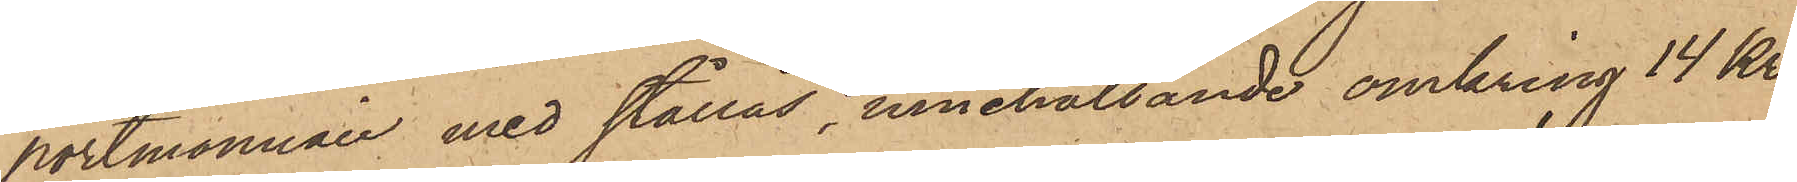portmonnaie med stållås, innehållande omkring 14 Kr.
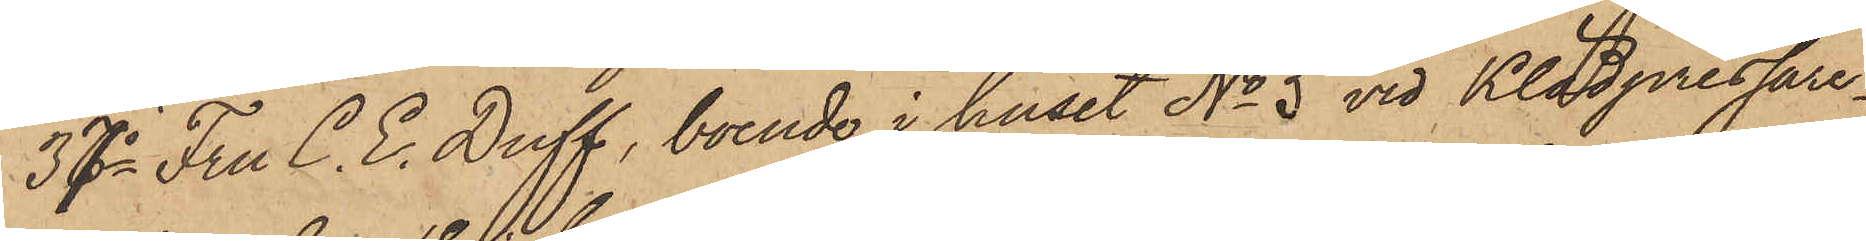37o Fru C. E. Duff, boende i huset No 5 vid Klädpressare¬
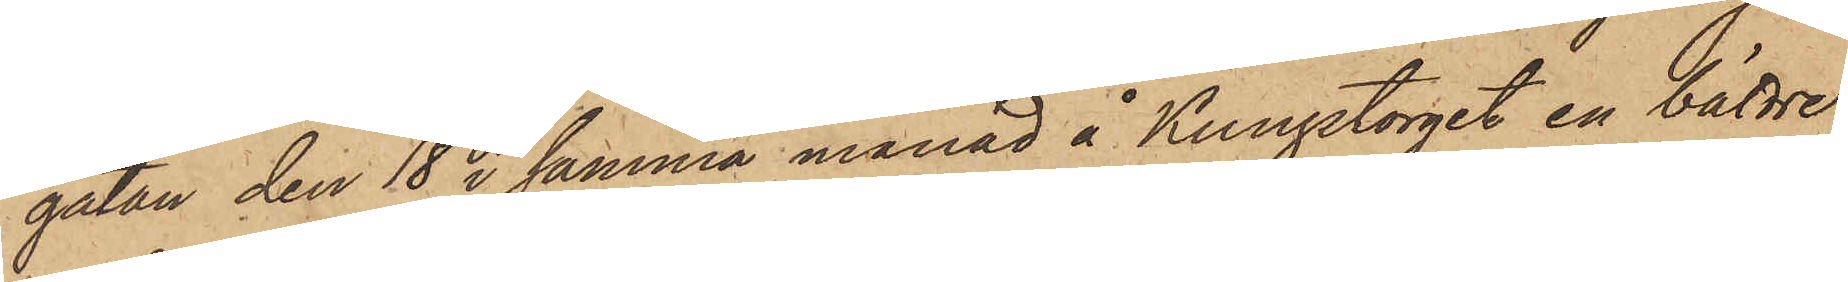gatan den 18 i samma månad å Kungstorget en bättre
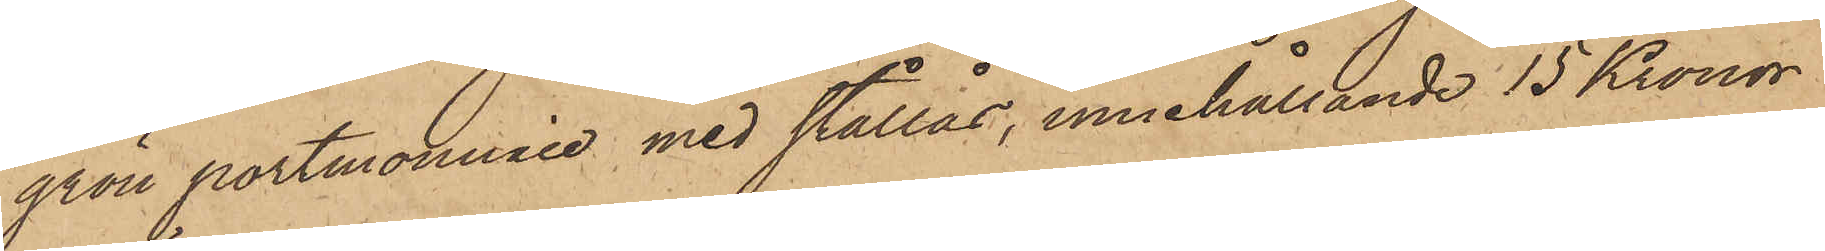grön portmonnaie med stållås, innehållande 15 Kronor
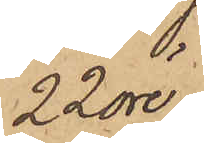22 öre;
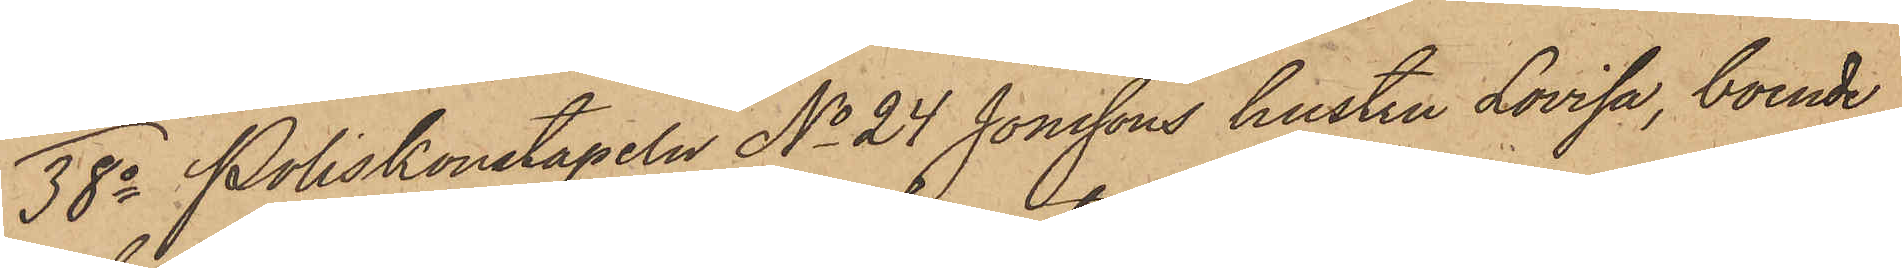38o Poliskonstapeln No 24 Jonssons hustru Lovisa, boende
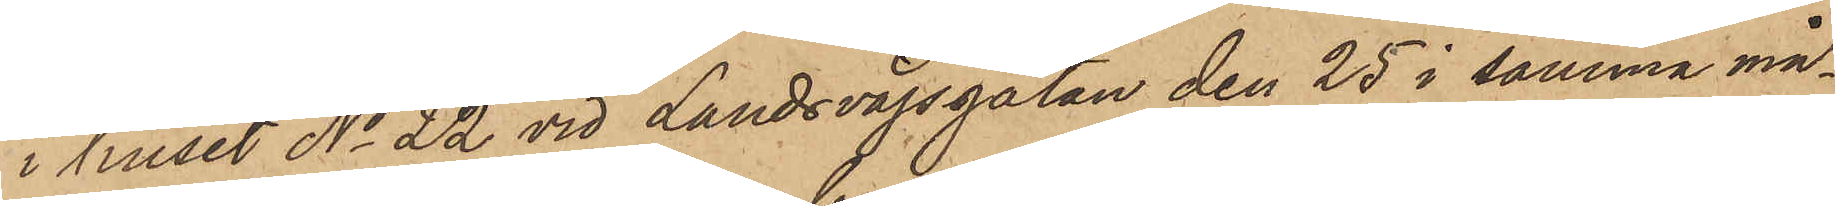i huset No 22 vid Landsvägsgatan den 25 i samma må¬
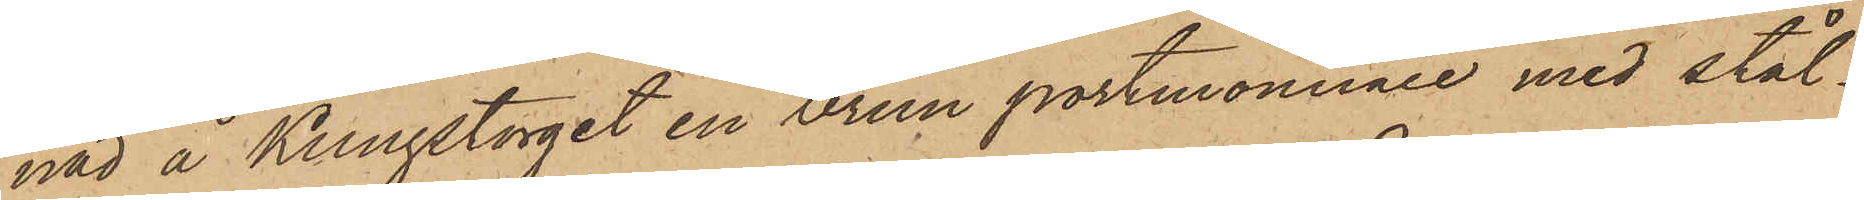nad å Kungstorget en brun portmonnaie med stål¬
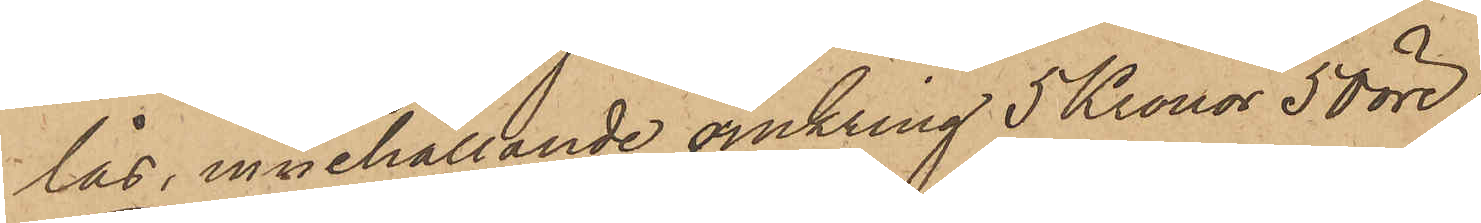lås, innehållande omkring 5 Kronor 50 öre;
